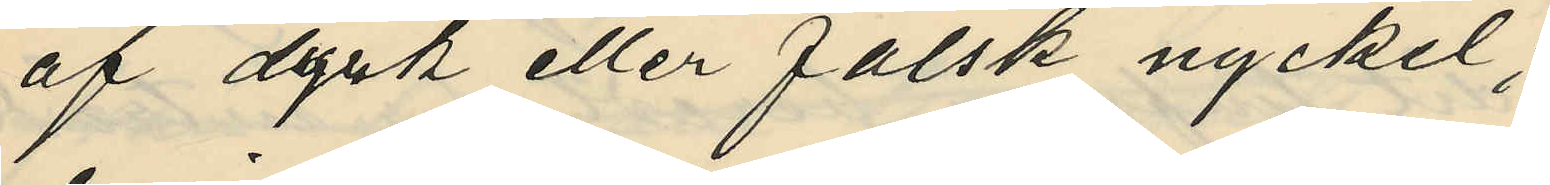af dyrk eller falsk nyckel;
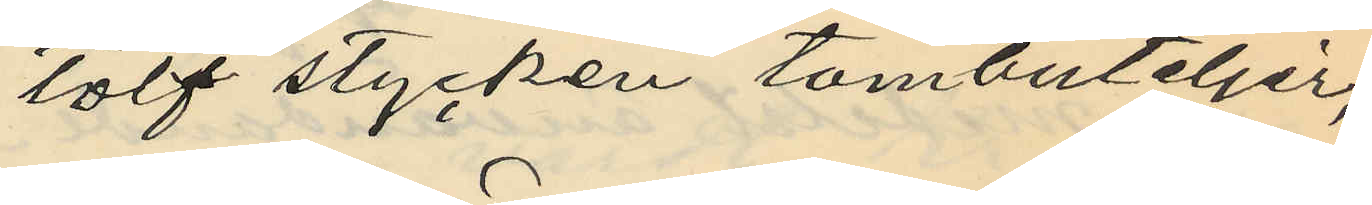tolf stycken tombuteljer,
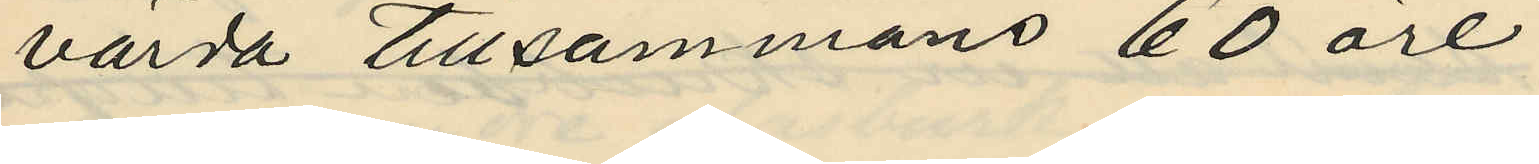värda tillsammans 60 öre
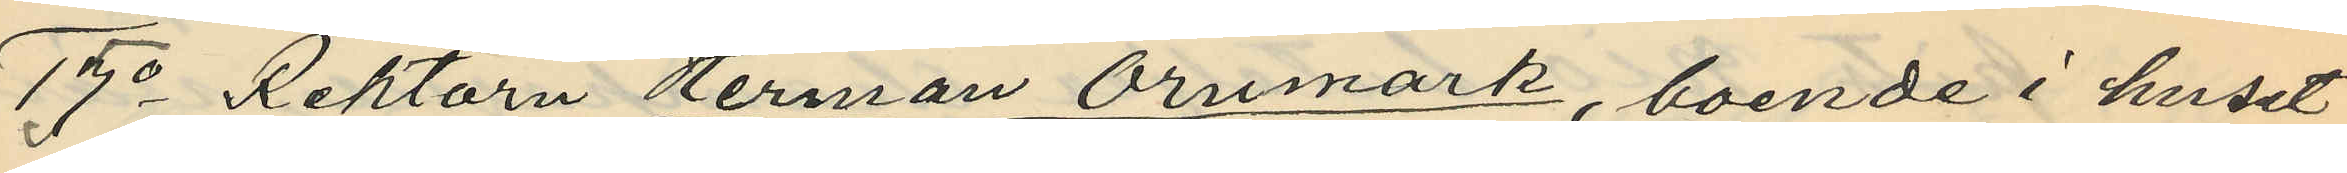15o Rektorn Herman Örnmark, boende i huset
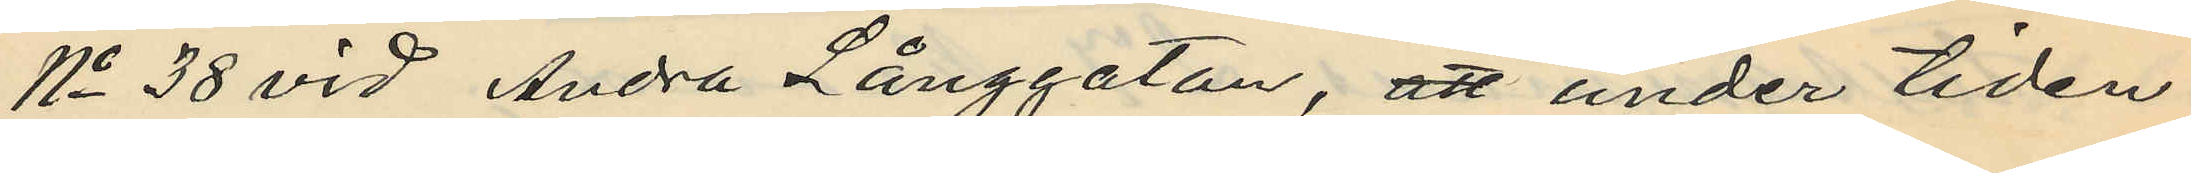No 38 vid Andra Långgatan, att under tiden
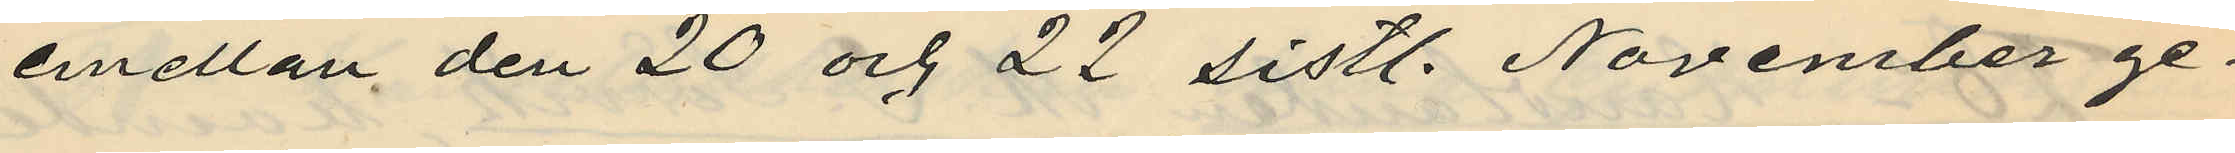emellan den 20 och 22 sistl. November ge¬
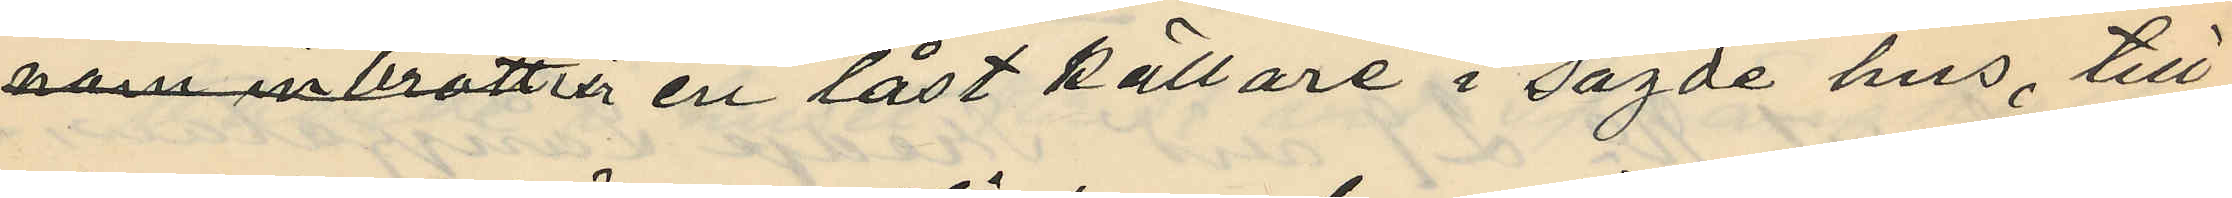nom inbrott i en låst källare i sagde hus, till
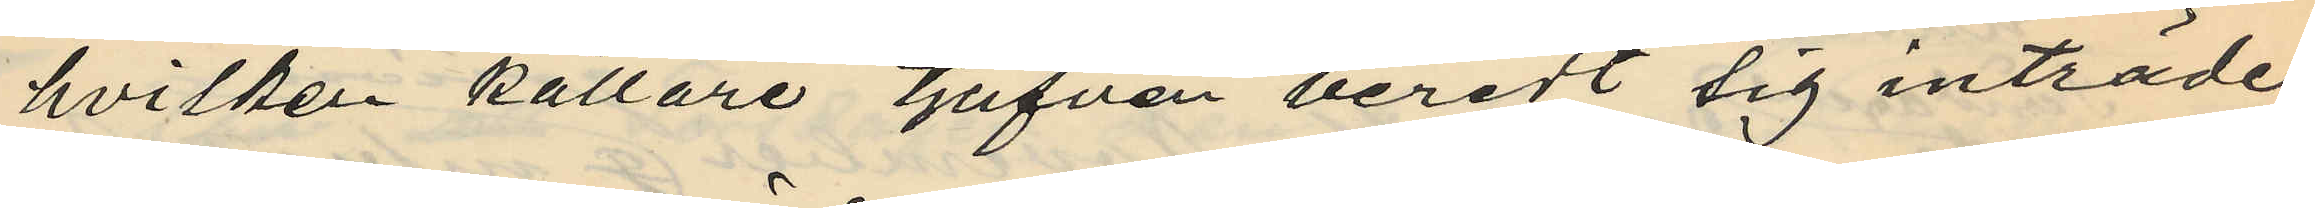hvilken källare tjufven beredt sig inträde
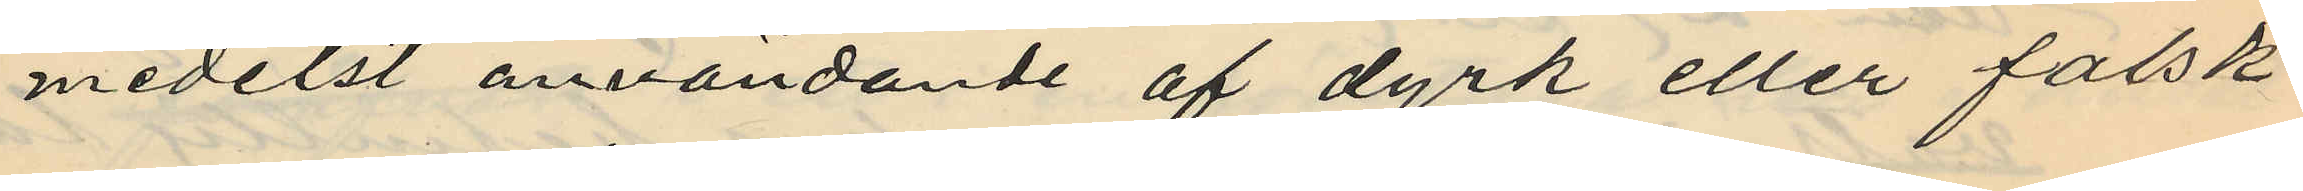medelst användande af dyrk eller falsk
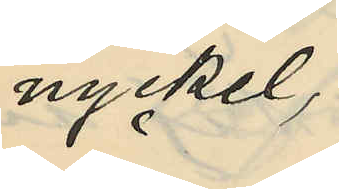nyckel,
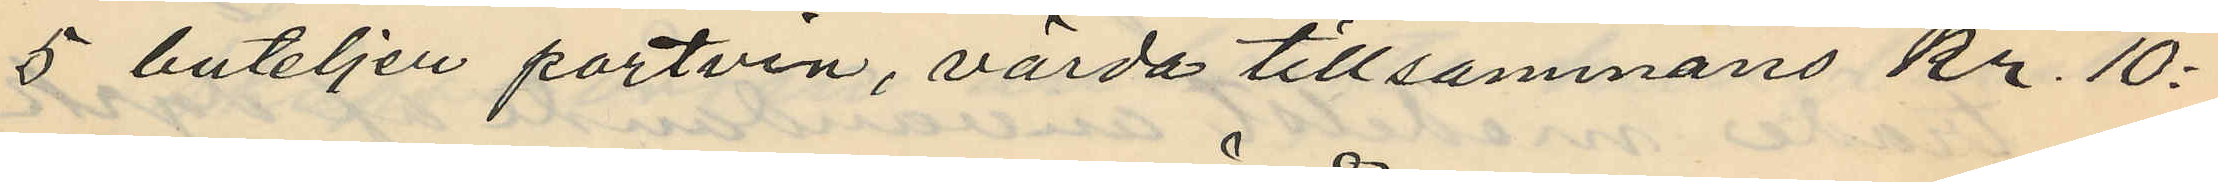5 buteljer portvin, värda tillsammans kr. 10:
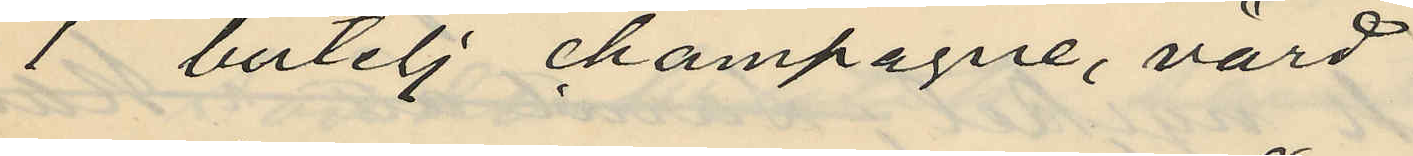1 butelj champagne, värd
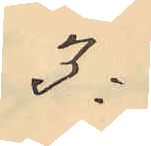3:
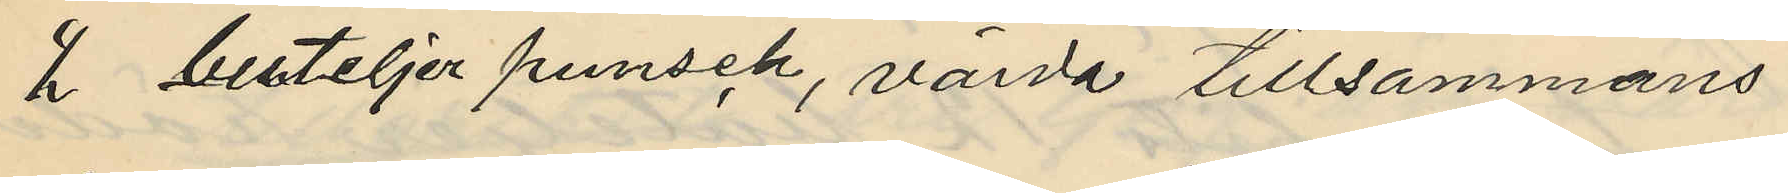2 buteljer punsch, värda tillsammans
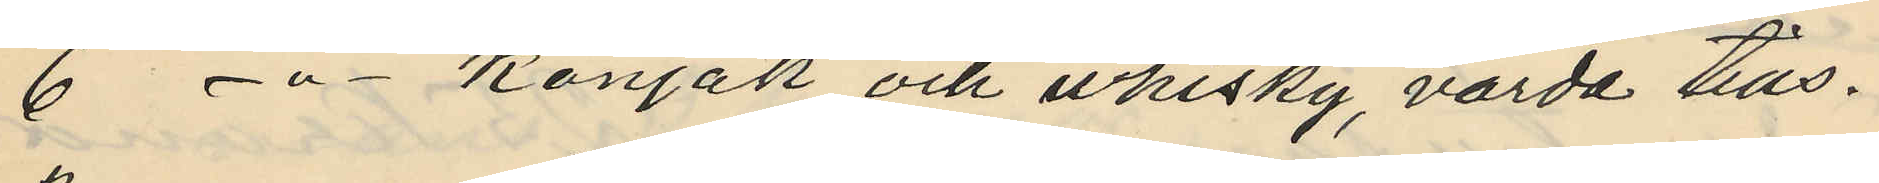6 - " - konjak och whisky, värda tills.
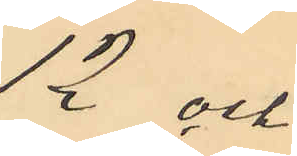12 och
